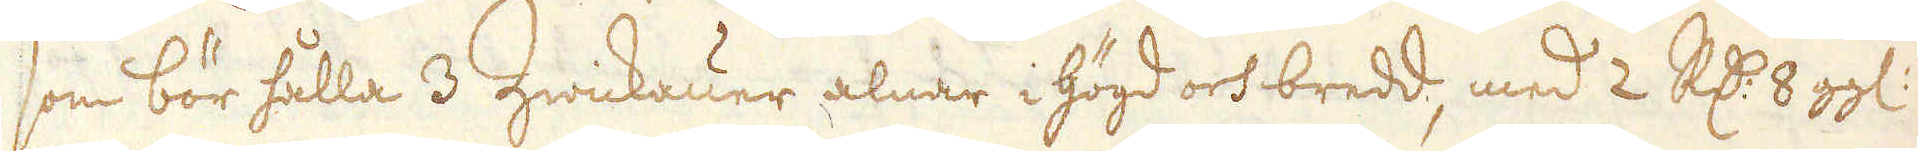som bör hålla 3 Zwickauer alnar i högd och bredd, med 2 R:dr 8 gg:
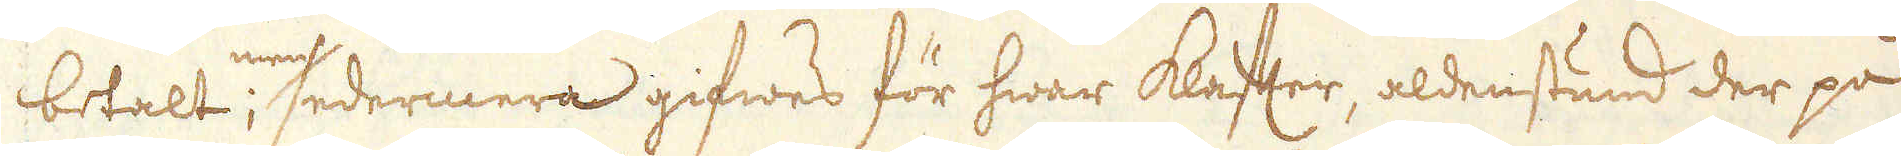betalt; men sedermera gifwes för hwar klafter, aldenstund der på
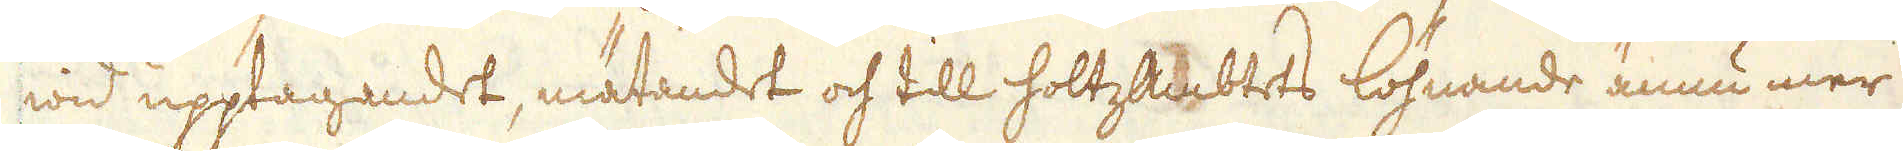wid upptagandet, mätandet och till holtzAmbtets löhnande ännu mer
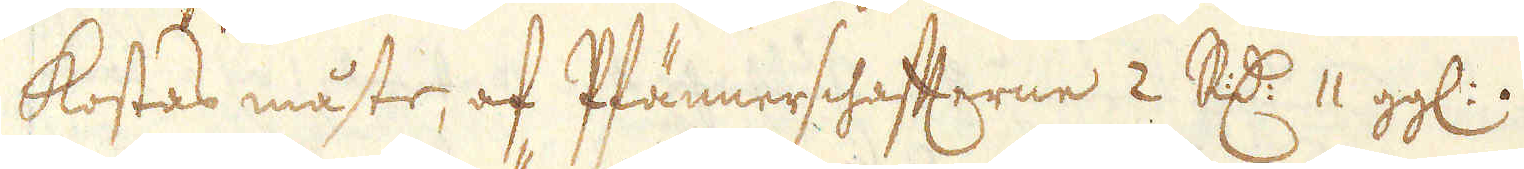kostas måste, af Pfännerschafterne 2 R:dr 11 gg:.
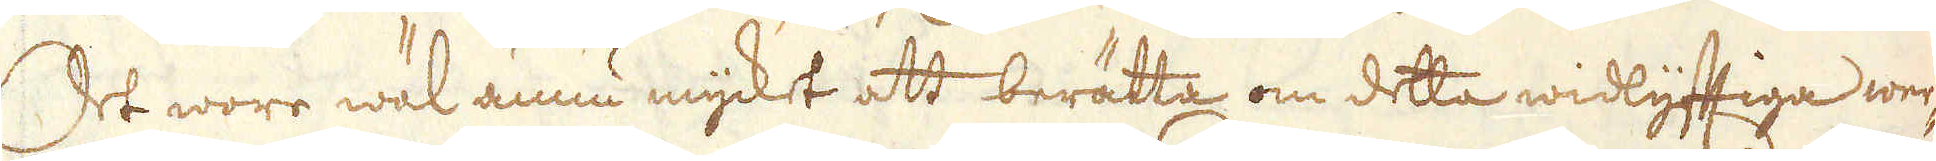Det wore wäl ännu mycket att berätta om detta widlyftiga wer-
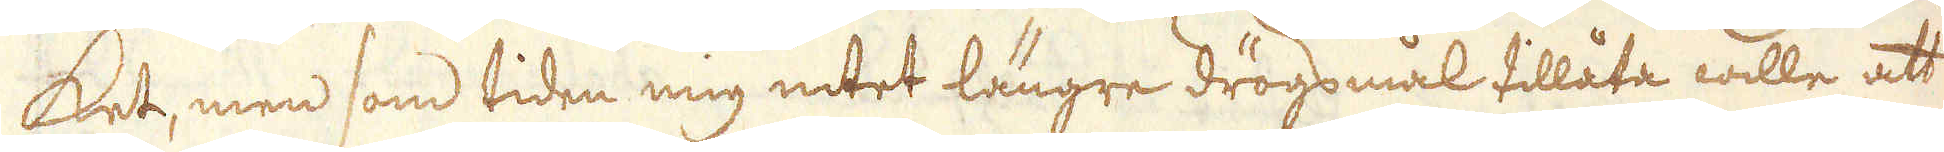ket, men som tiden mig intet längre drögsmål tillåta wille att
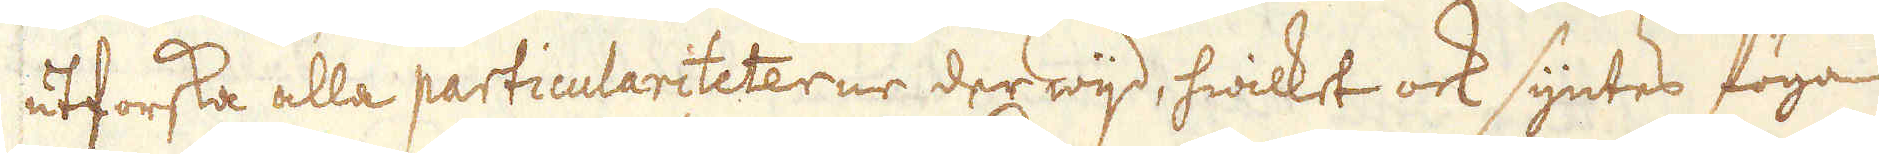utforska alla particulariteterne der wijd, hwilket ock syntes föga
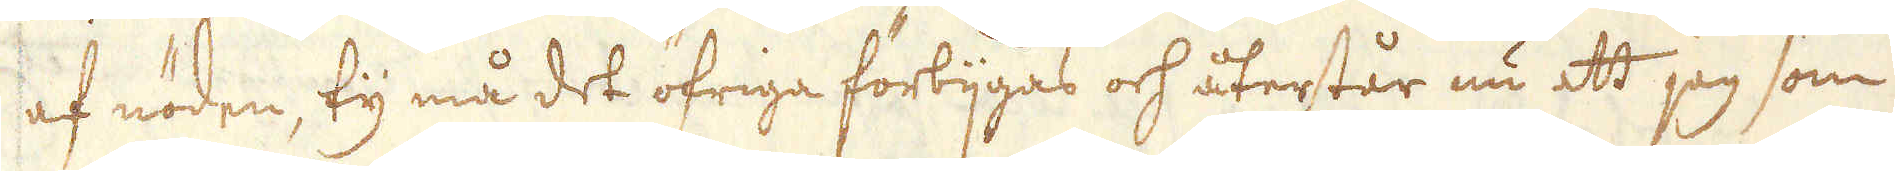af nöden, ty må det öfriga förbijgås och återstår nu att jag som
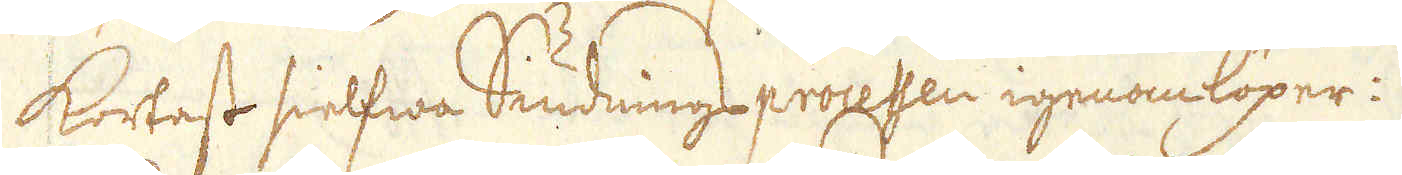kortast sielfwa Siudnings procesen igenomlöper:
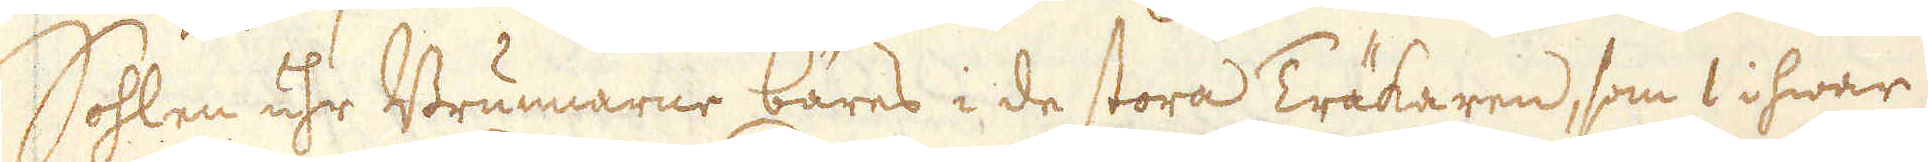Sohlen uhr Brunnarne bäres i de stora Träkaren, som 1 i hwar
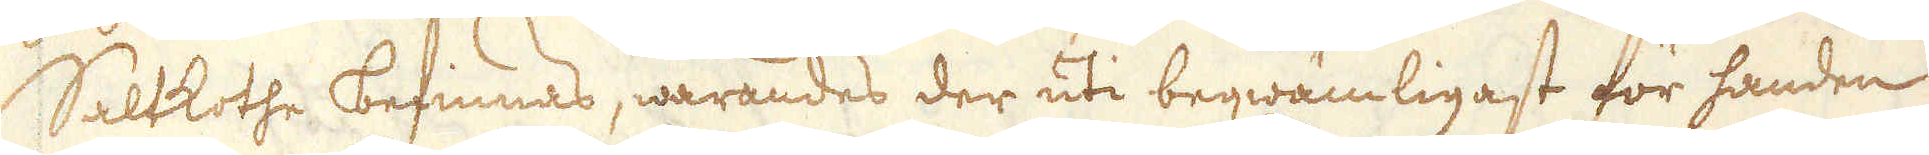Saltkothe befinnas, warandes der uti beqwämligast för handen
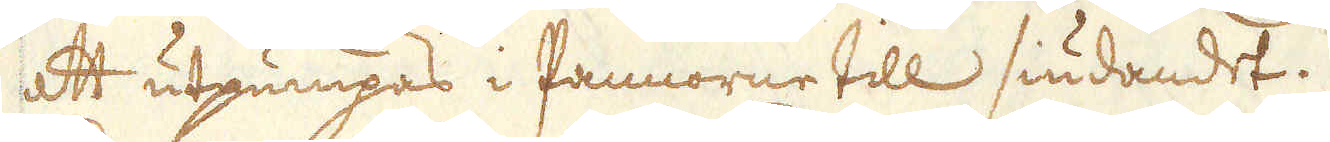att utpumpas i Pannorne till siudandet.
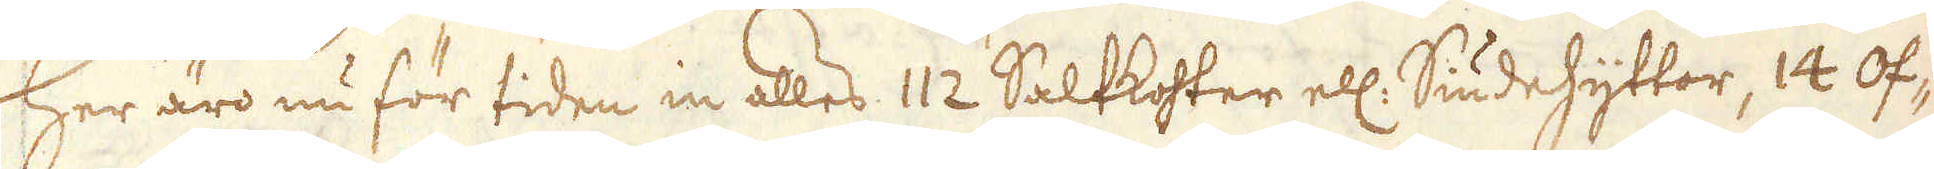Her äro nu för tiden in alles 112 Saltkohter ell: Siudehyttor, 14 Öf-
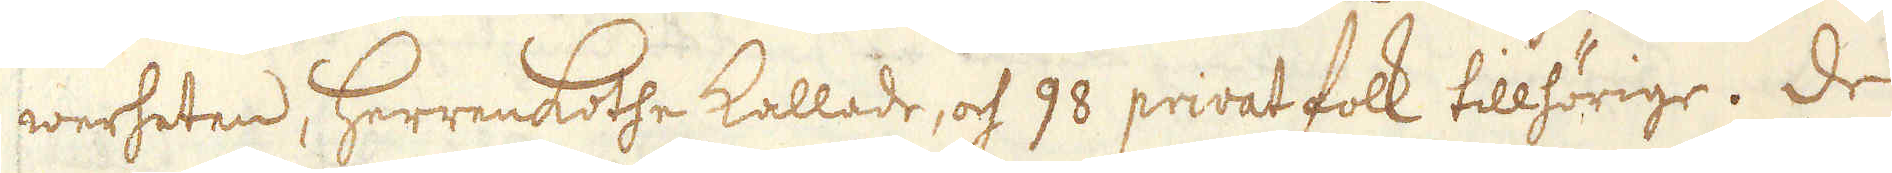werheten, Herrenkothe kallade, och 98 privat folk tillhörige. De
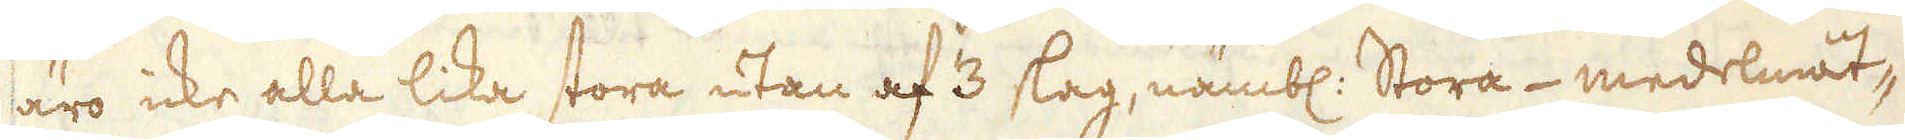äro icke alla lika stora utan af 3 slag, nämbl: stora- medelmåt-
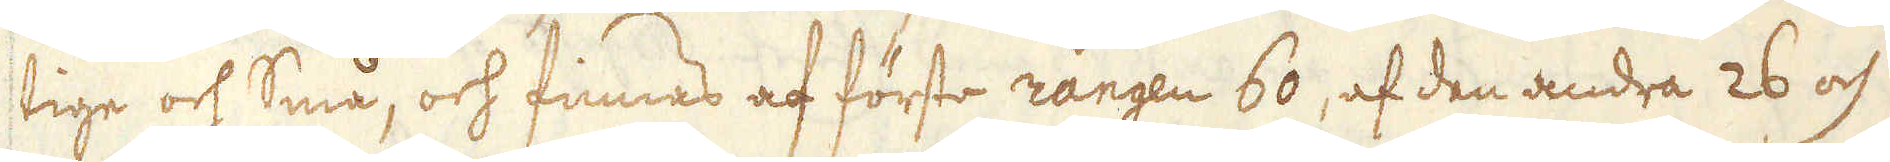tige och små, och finnas af förste rangen 60, af den andra 26 och
